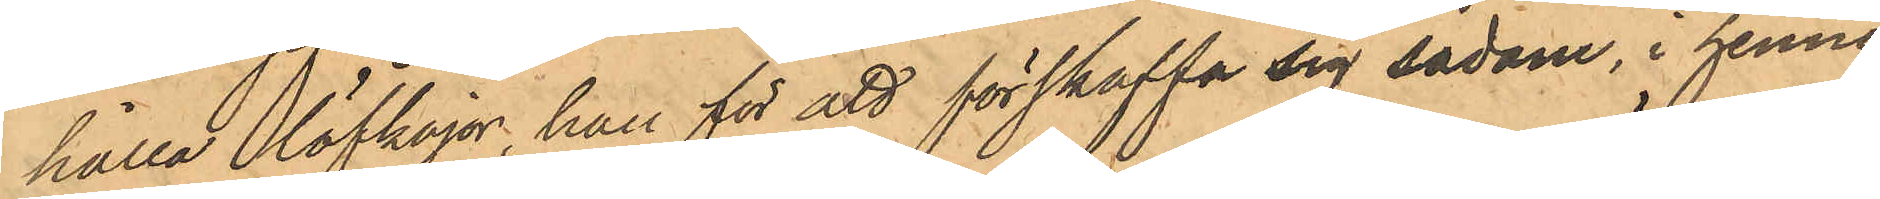hålla löfkojor, han för att förskaffa sig sådane, i hennes
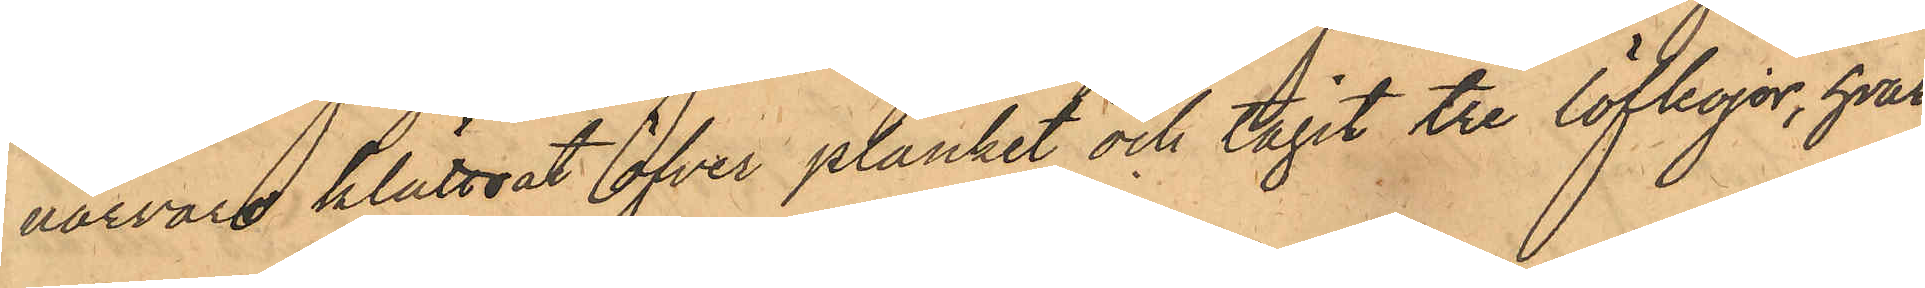närvaro klättrat öfver planket och tagit tre löfkojor, hvar¬
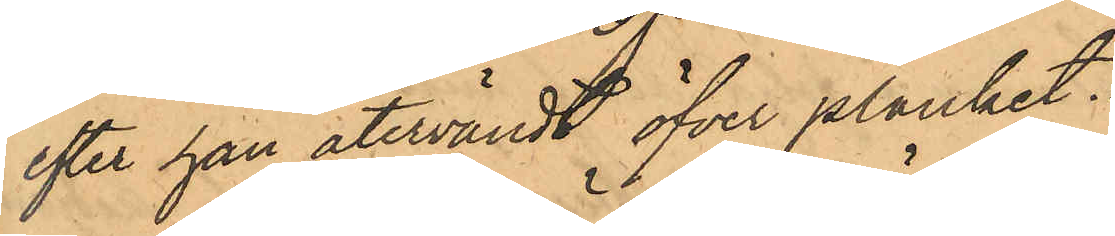efter han återvändt öfver planket.
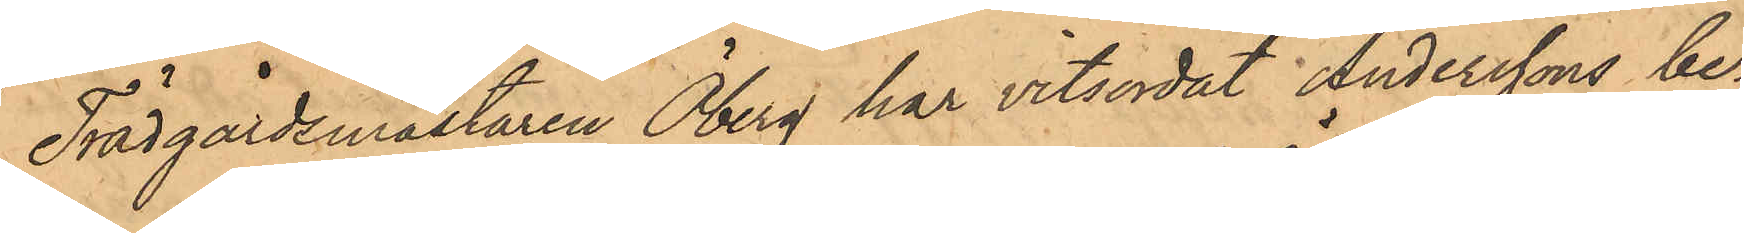Trädgårdsmästaren Öberg har vitsordat Anderssons be¬
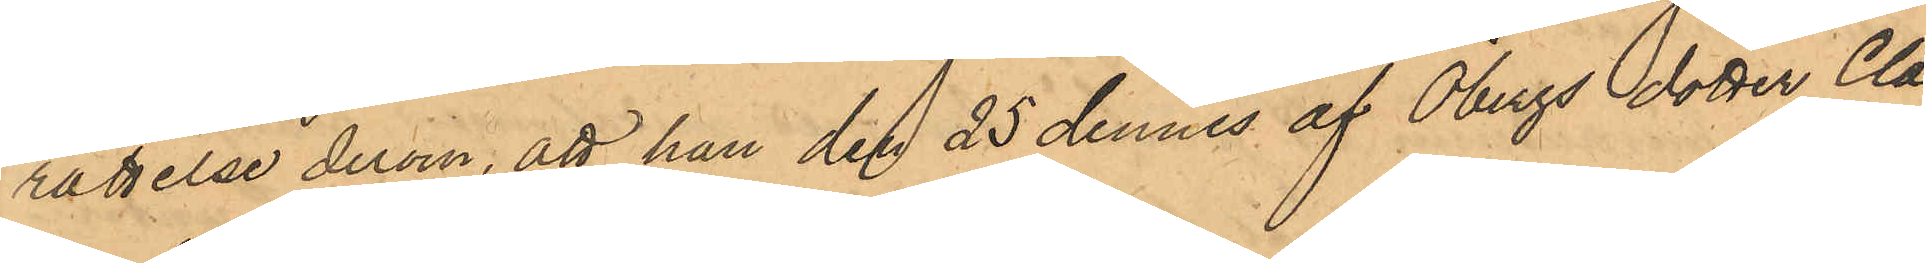rättelse derom, att han den 25 dennes af Öbergs dotter Cla¬
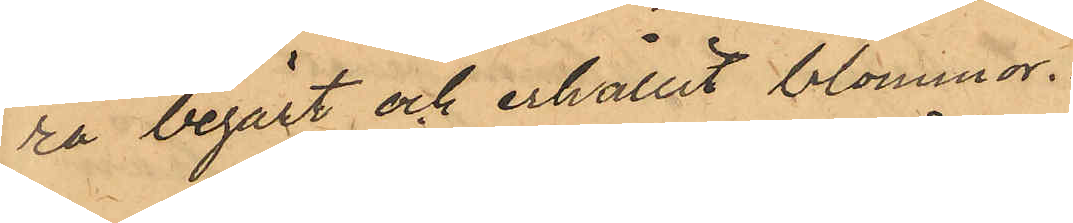ra begärt och erhållit blommor.
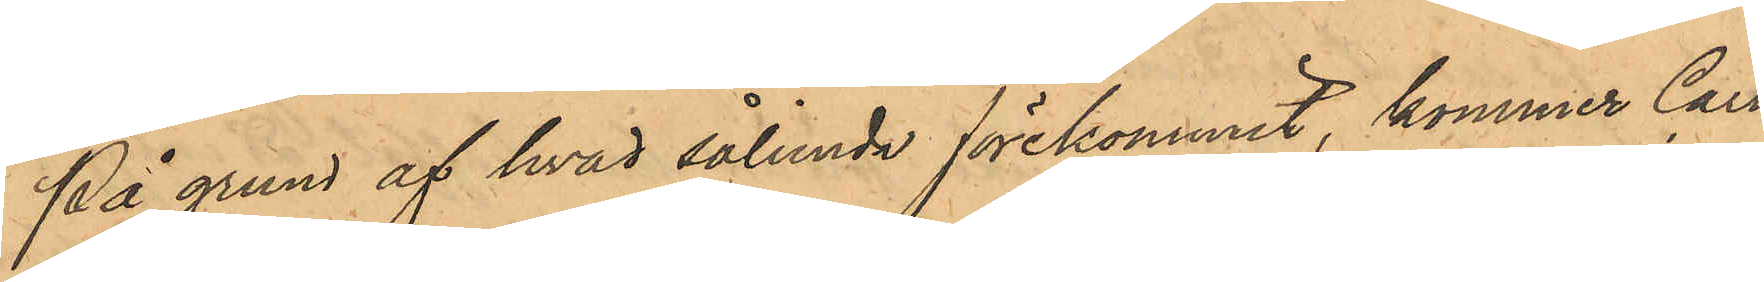På grund af hvad sålunda förekommit, kommer Carl
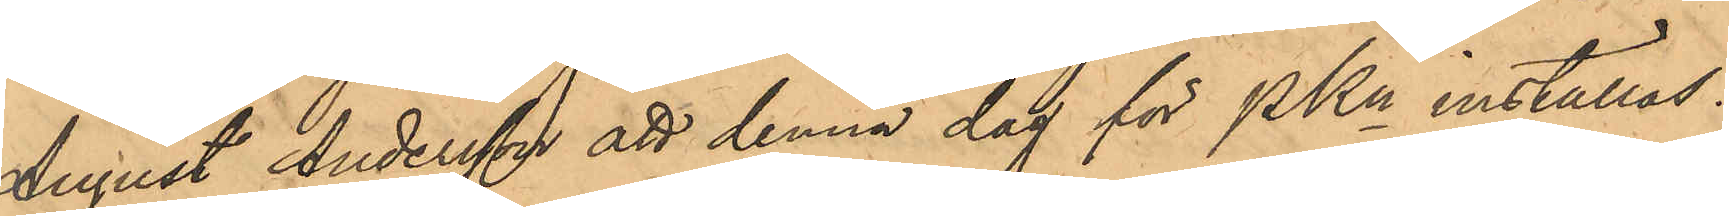August Andersson att denna dag för PKn inställas.
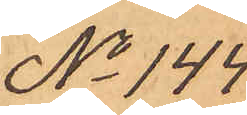No 144.
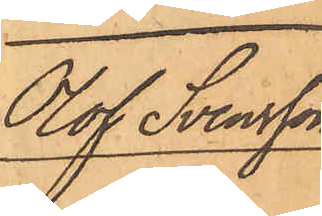Olof Svensson
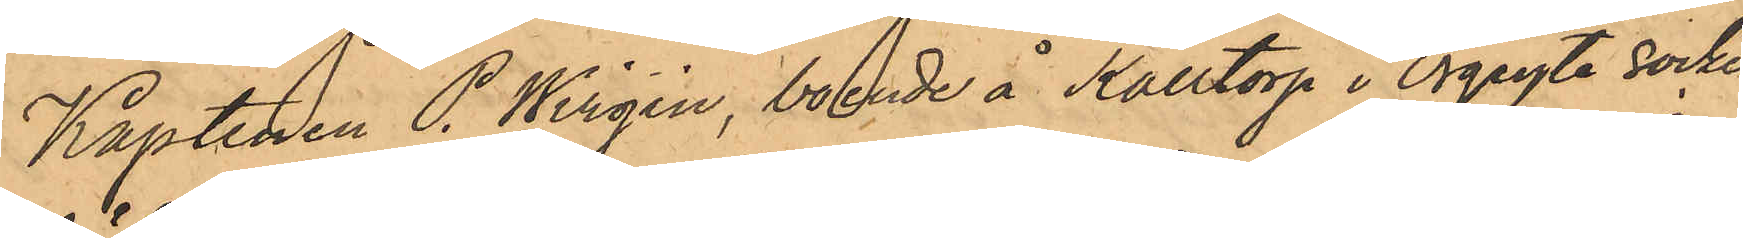Kaptenen P. Wirgin, boende å Kålltorp i Örgryte Socken,
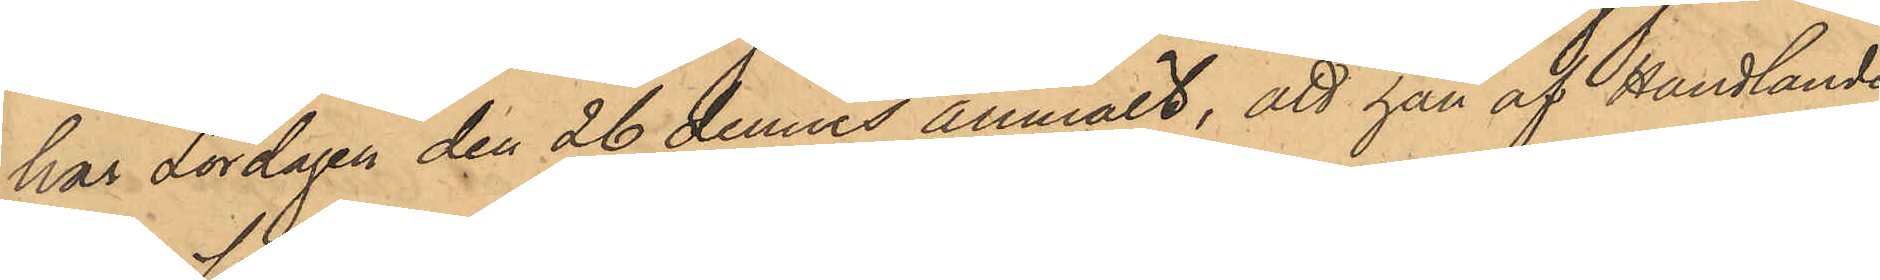har Lördagen den 26 dennes anmält, att han af Handlanden
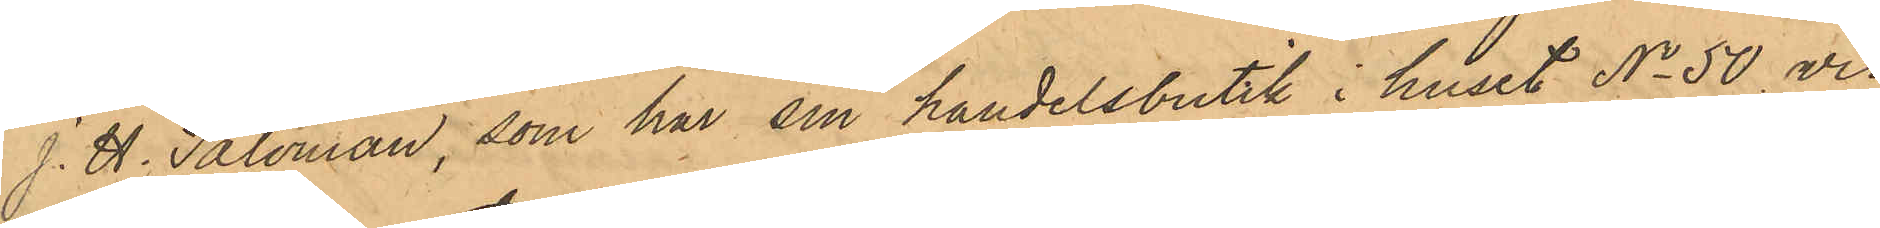J. H. Saloman, som har sin handelsbutik i huset No 50 vid
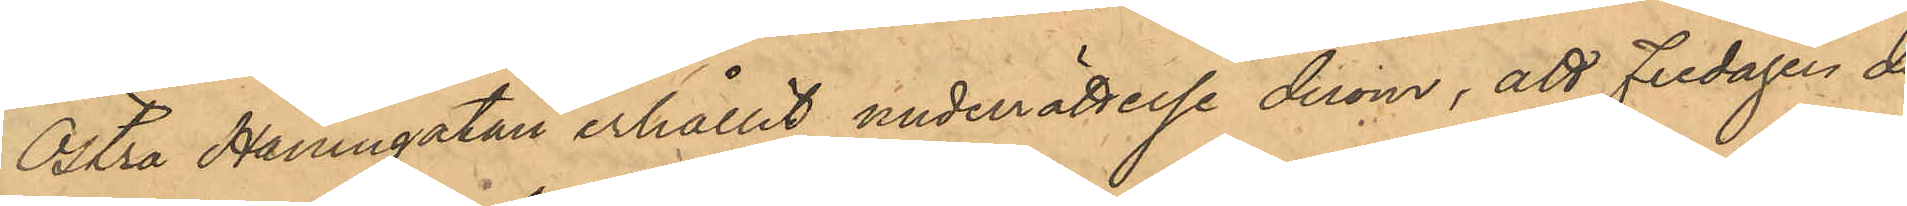Östra Hamngatan erhållit underrättelse derom, att Fredagen den
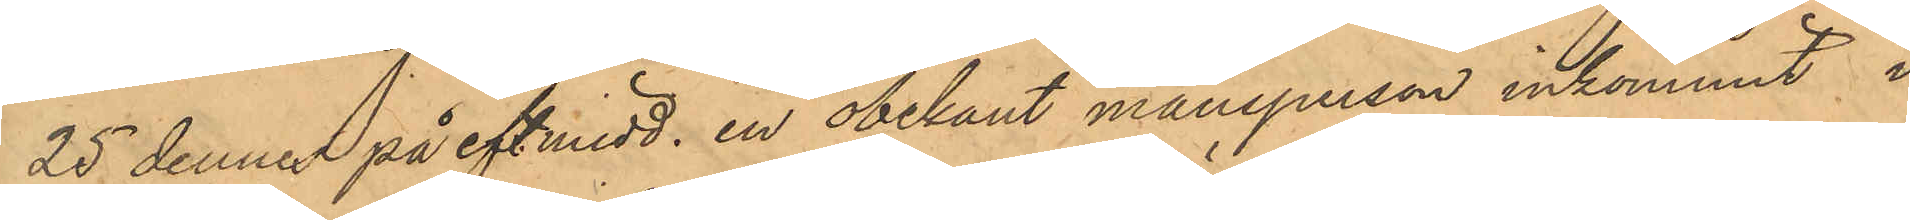25 denne på eft. midd. en obekant mansperson inkommit i
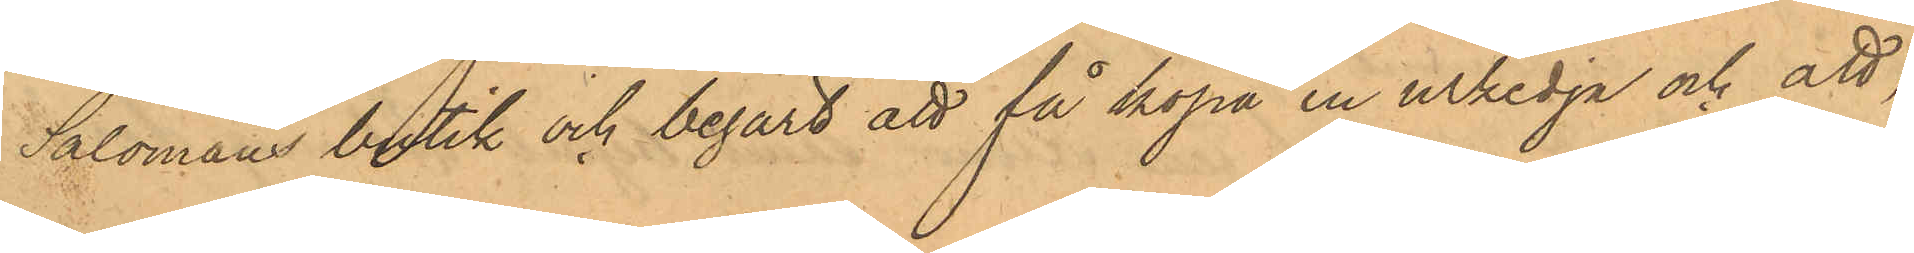Salomans butik och begärt att få köpa en urkedja och att,
